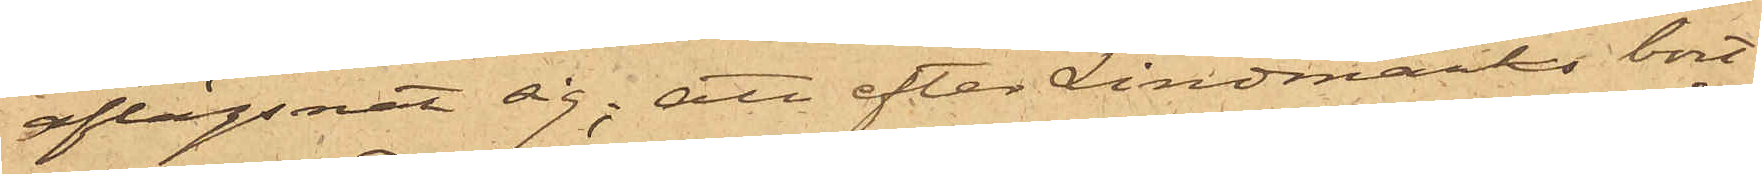aflägsnat sig; att efter Lindmarks bort¬
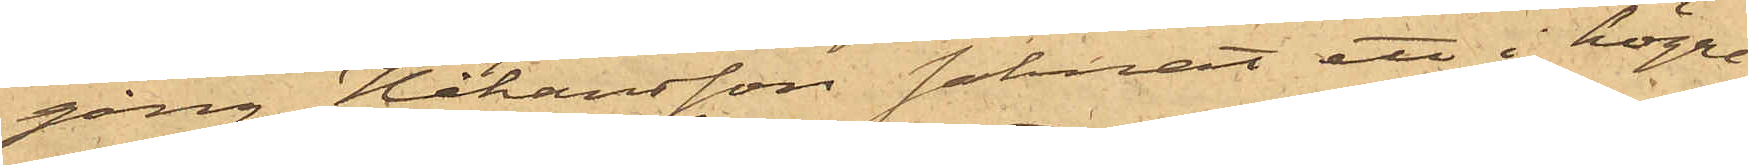gång, Håkansson saknat ett i högra
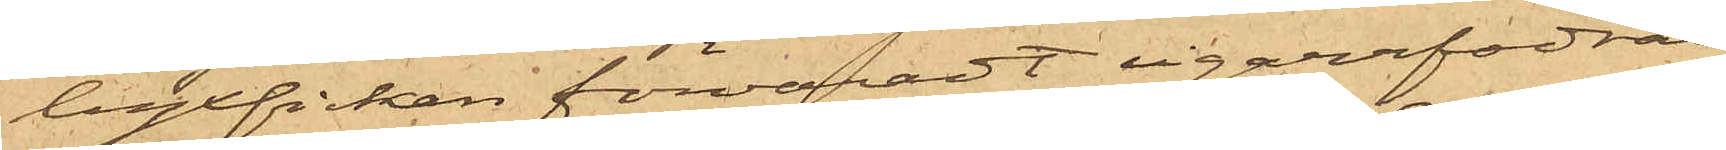byxfickan förvaradt cigarrfodral,
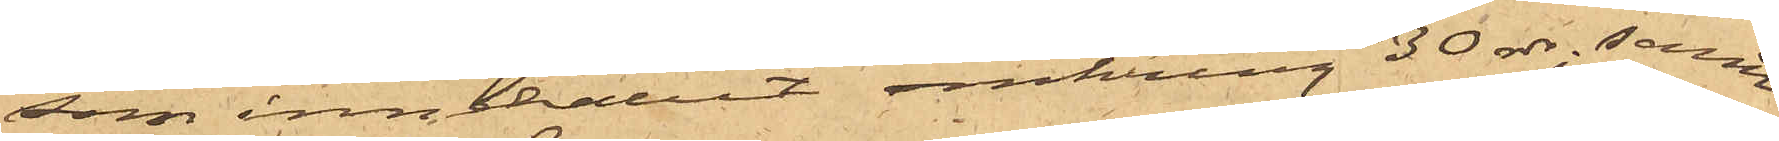som innehållit omkring 30 rdr; samt
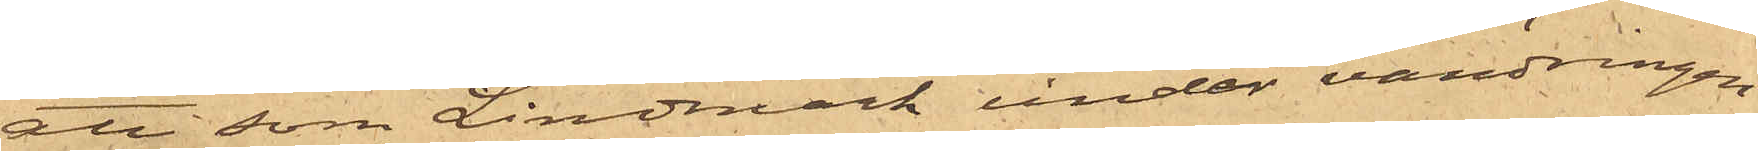att som Lindmark under vandringen
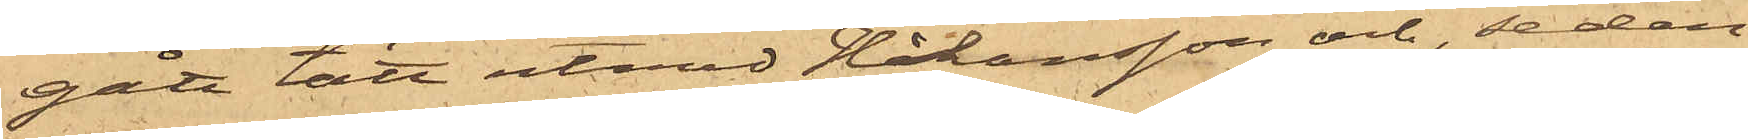gått tätt utmed Håkansson och, sedan
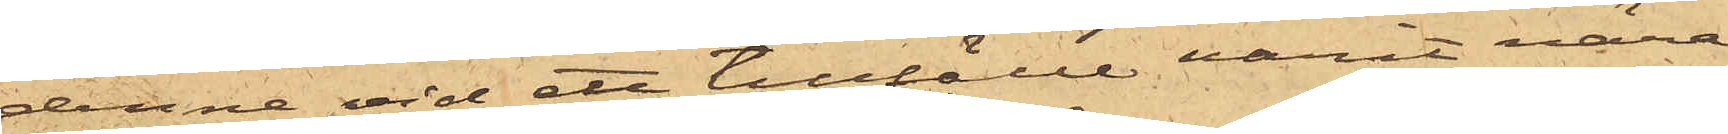denne vid ett tillfälle varit nära
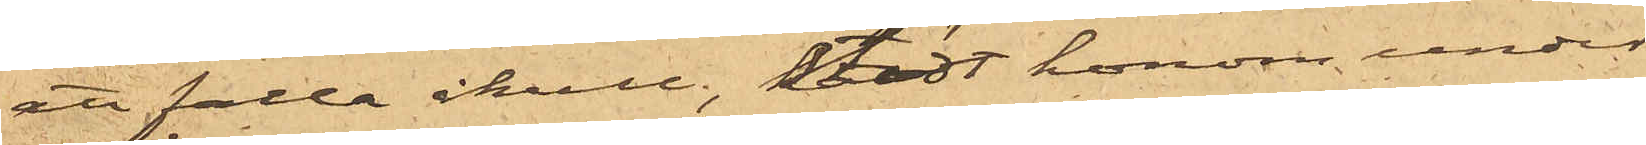att falla ikull, stödt honom under
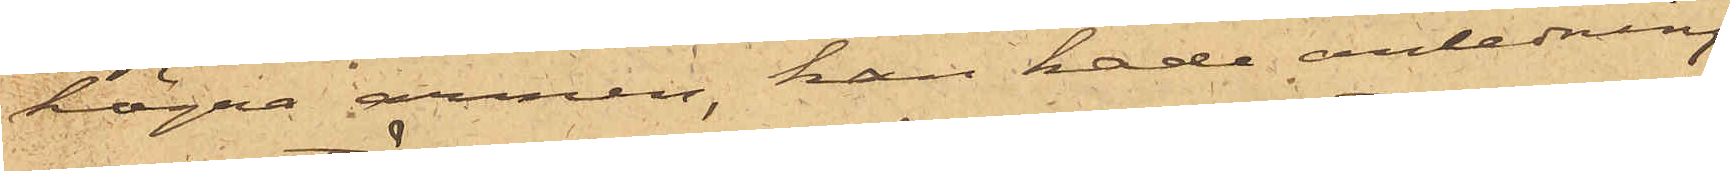högra armen, han hade anledning
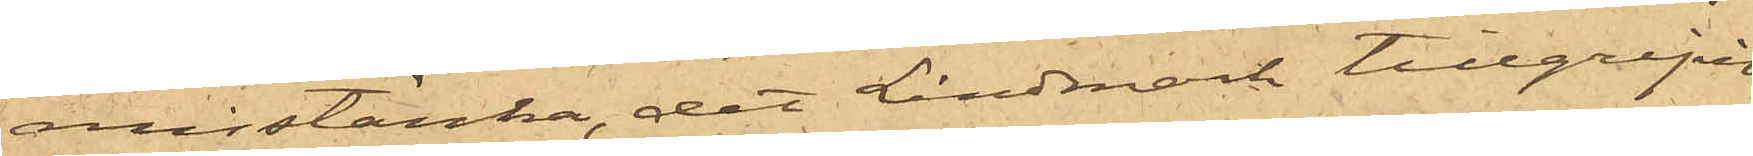misstänka, det Lindmark tillgripit
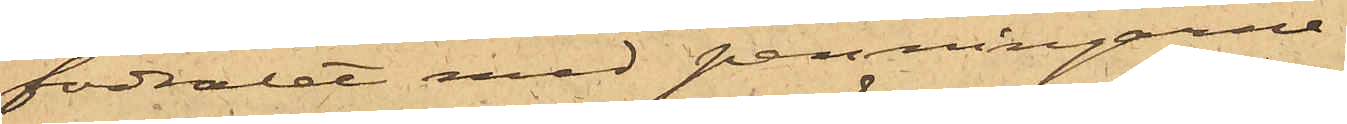fodralet med penningarne.
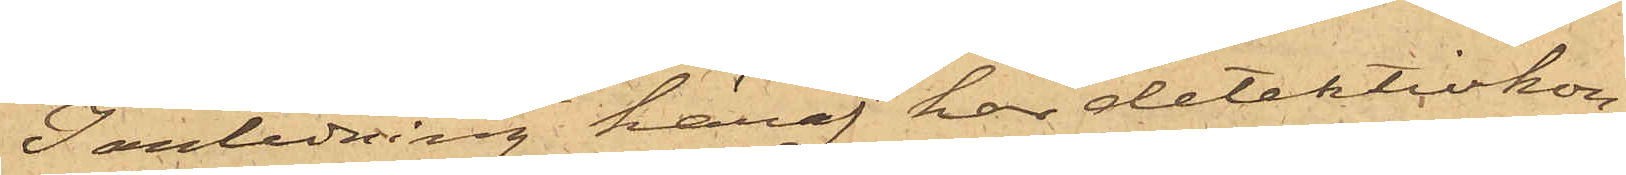I anledning häraf har detektivkon¬
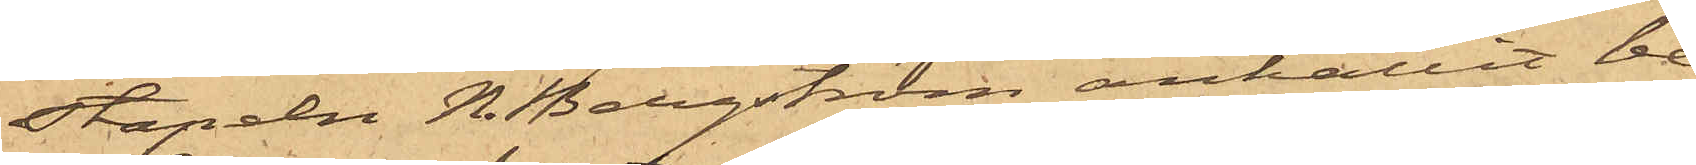stapeln N. Bergström anhållit be¬
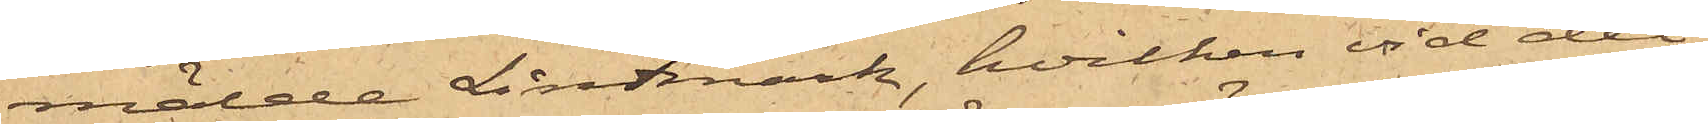mälde Lindmark, hvilken vid det
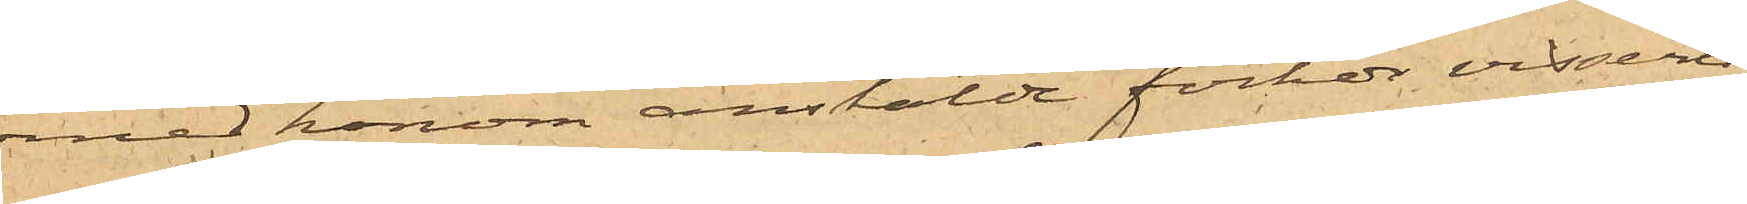med honom anstälde förhör visserli¬
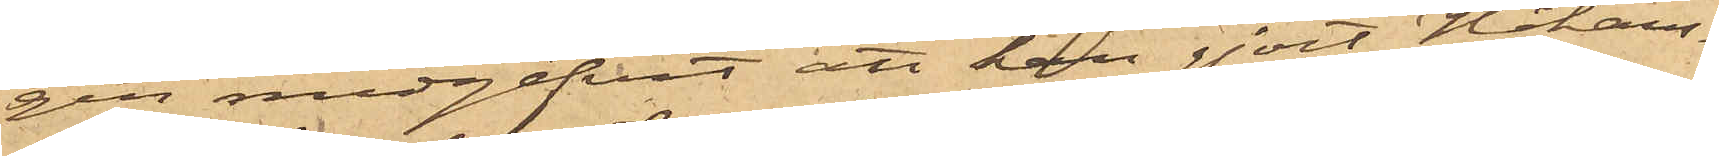gen medgifvit att han gjort Håkans¬
